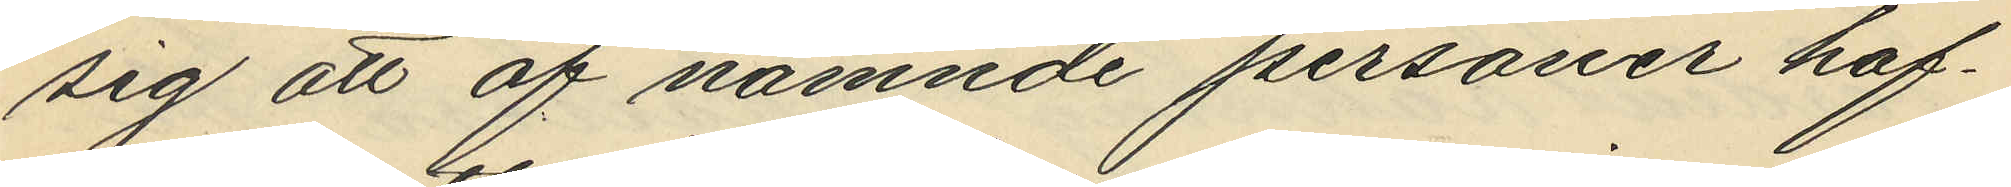sig att af nämnde personer haf¬
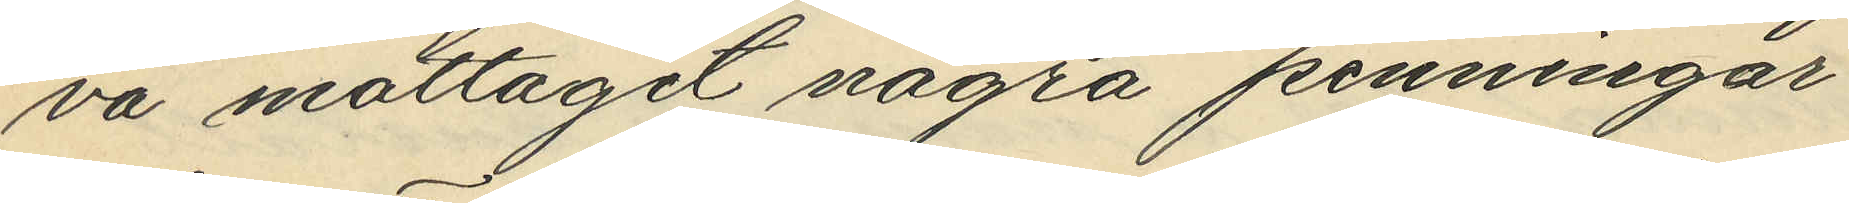va mottagit några penningar
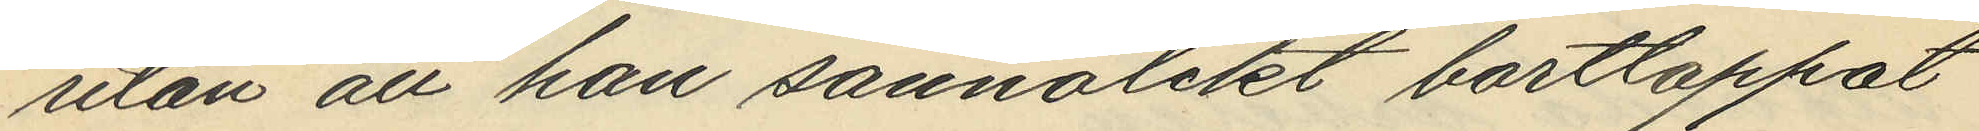utan att han sannolikt borttappat
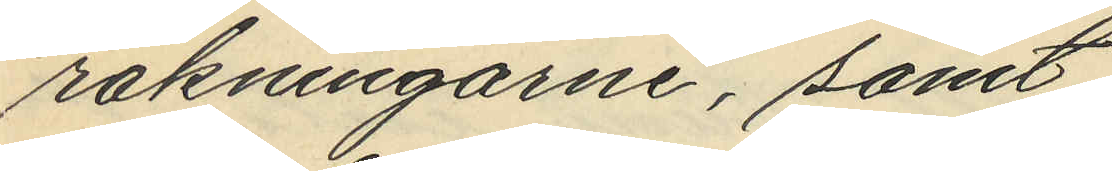räkningarne, samt
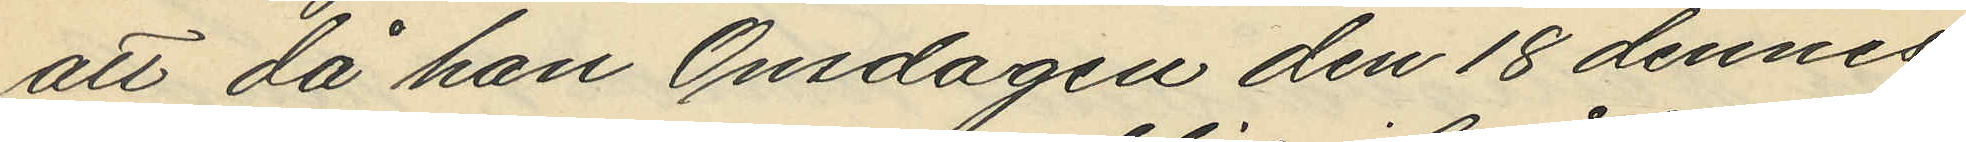att då han Onsdagen den 18 dennes
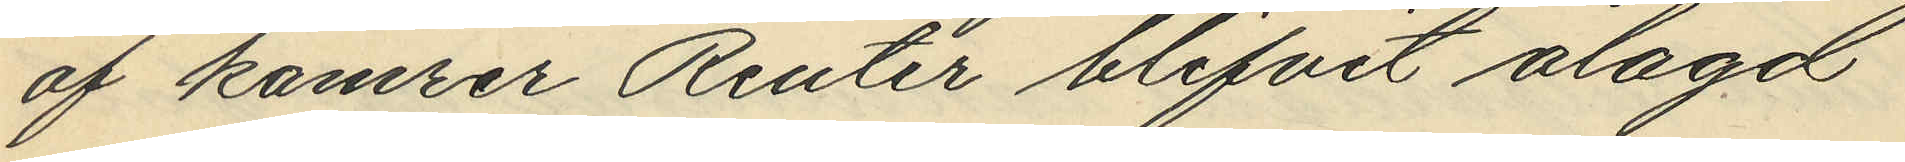af kamrer Reuter blifvit ålagd
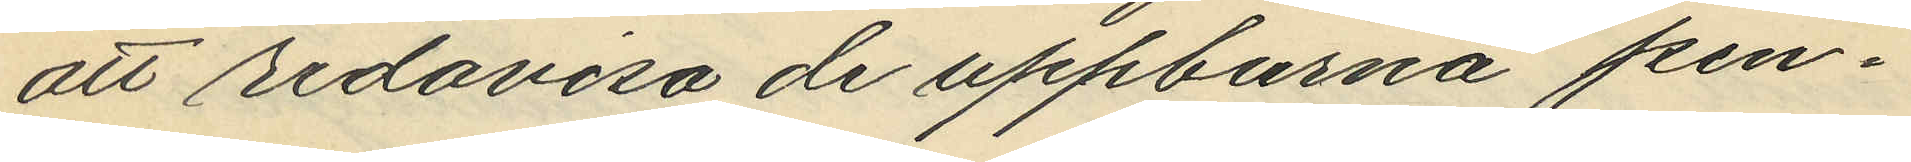att redovisa de uppburna pen¬
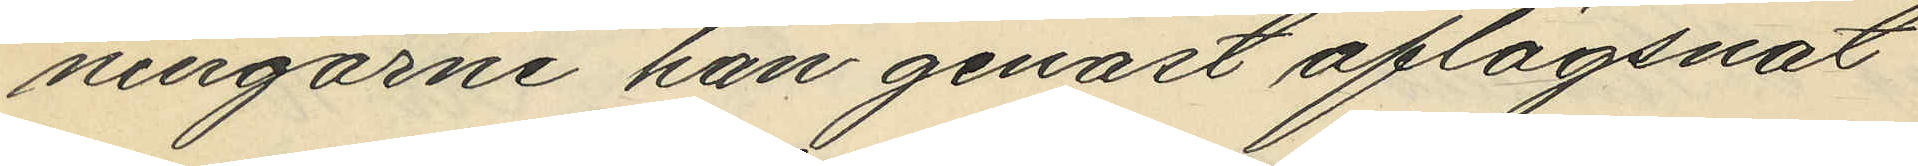ningarne han genast aflägsnat
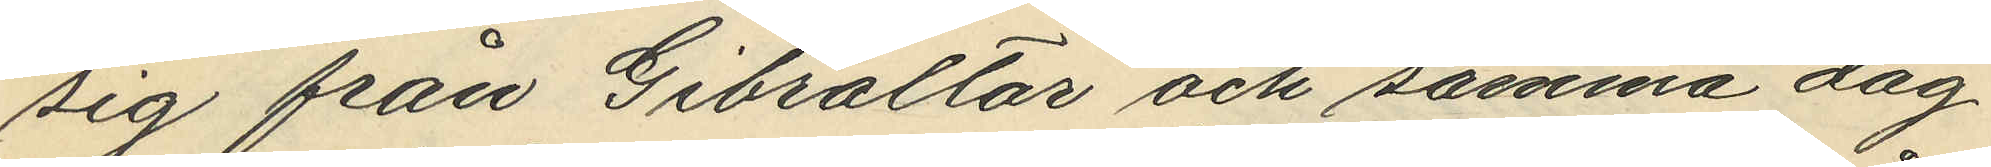sig från Gibraltar och samma dag
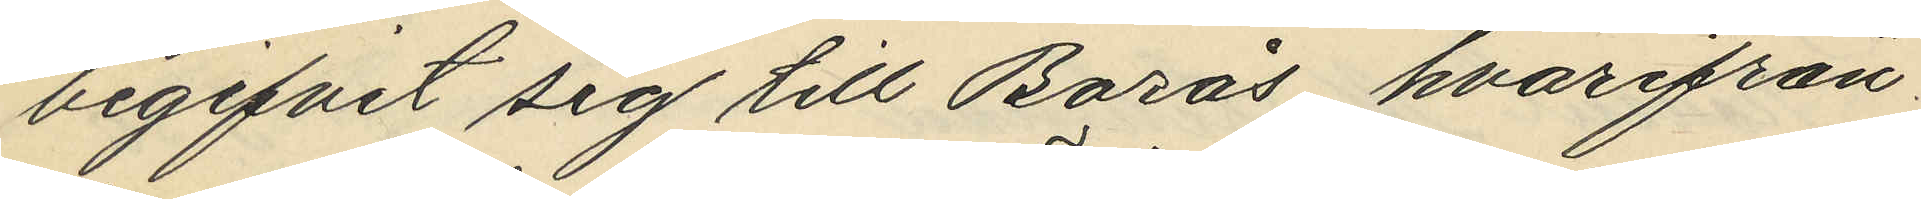begifvit sig till Borås hvarifrån
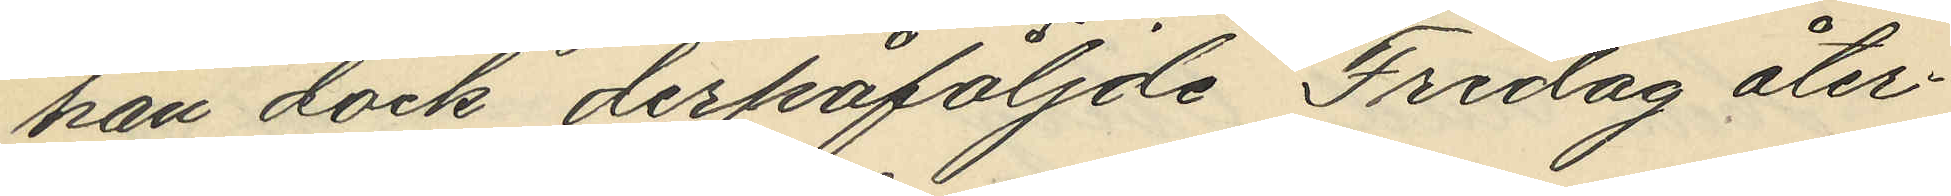han dock derpåföljde Fredag åter¬
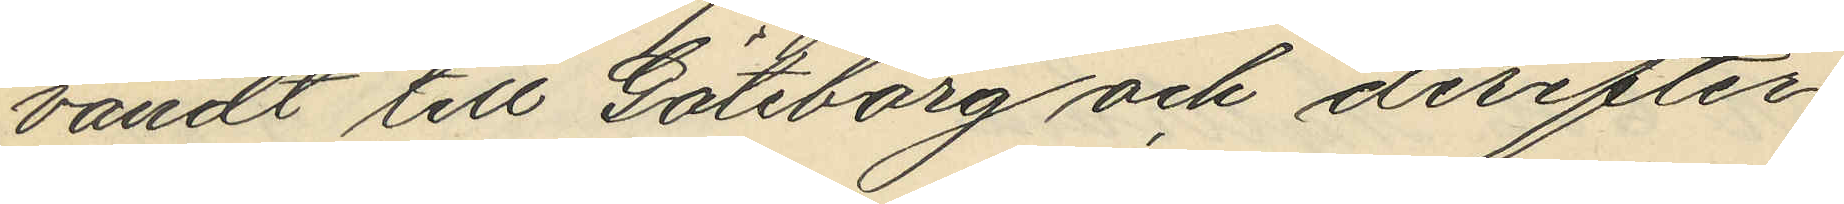vändt till Göteborg och derefter
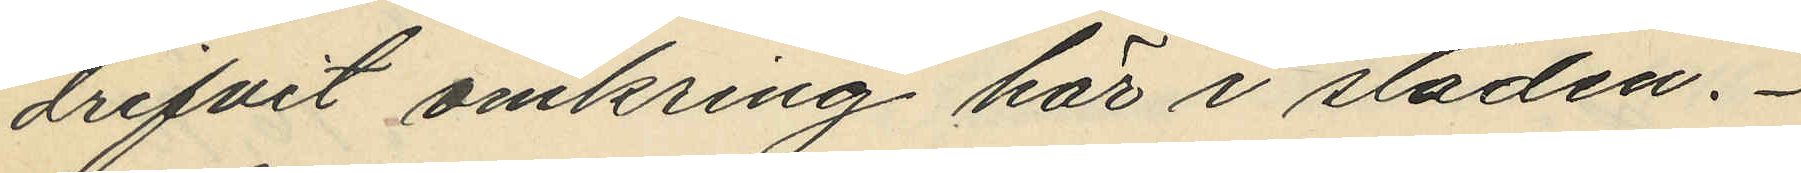drifvit omkring här i staden.
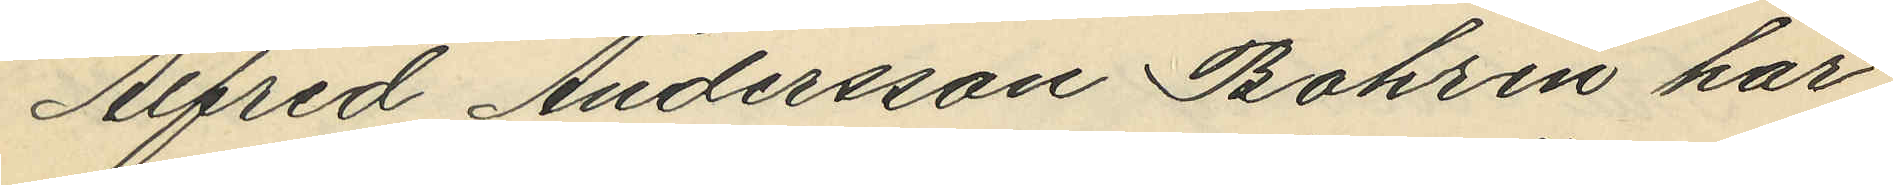Alfred Andersson Bohrin har
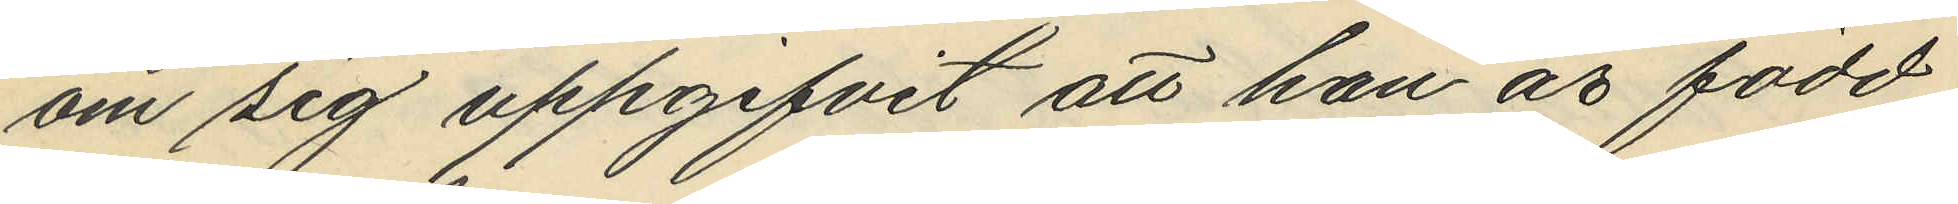om sig uppgifvit att han är född
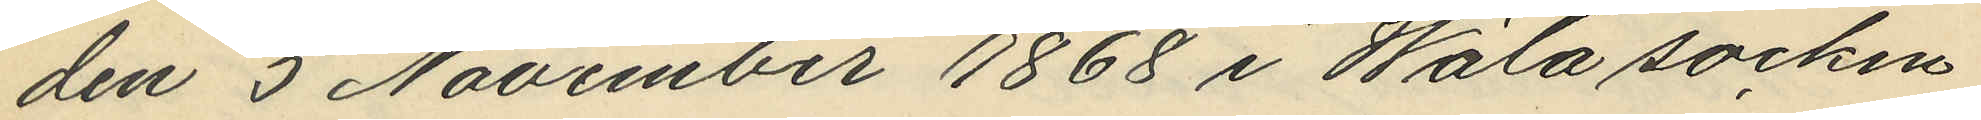den 5 November 1868 i Wäla socken
